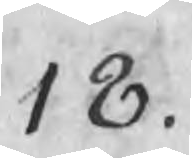18.
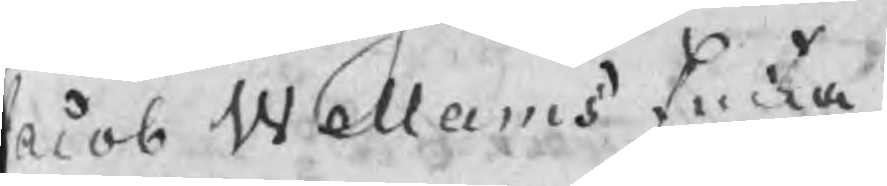Jacob Wellams Encka
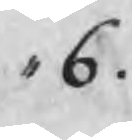,, 6.
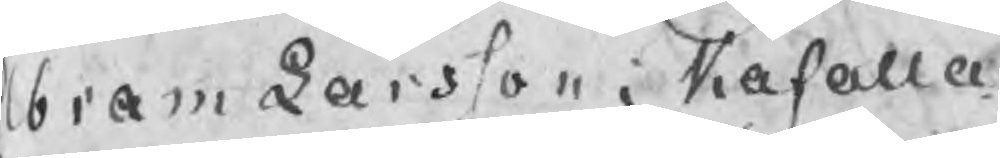Abram Larsson i Kåfalla
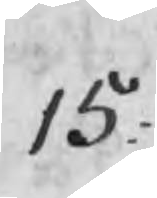15:
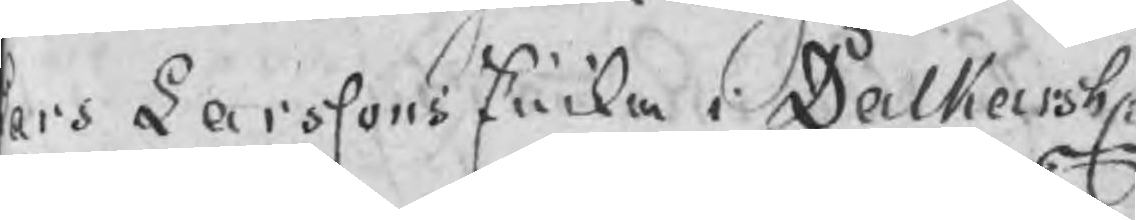Lars Larssons Encka i Dalkarsh.
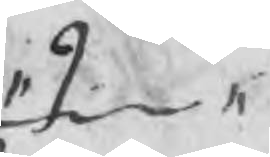9
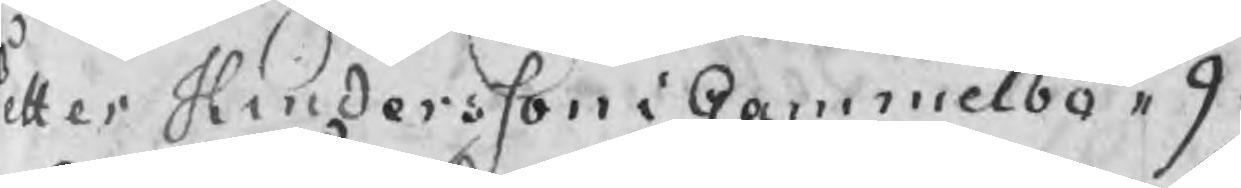Petter Hindersson i Gammelbo ,, 9.
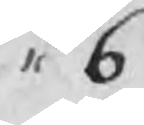,, 6
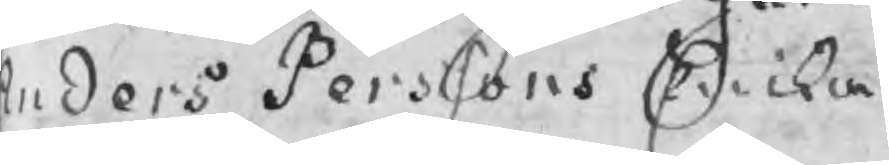nders Perssons Encka
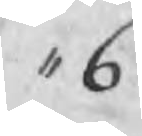,, 6.
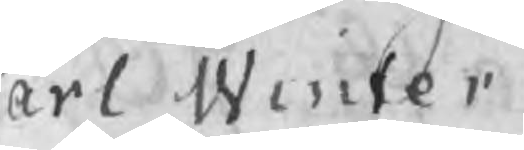Carl Winter
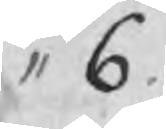,, 6.
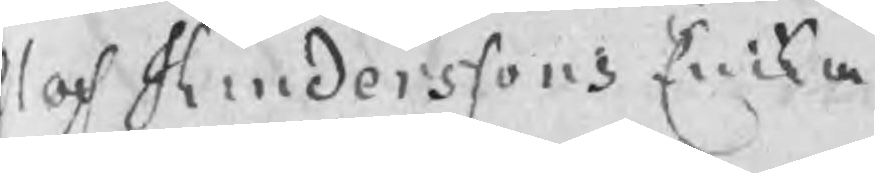Olof Hinderssons Encka
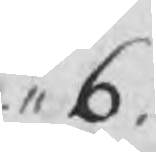,, 6.
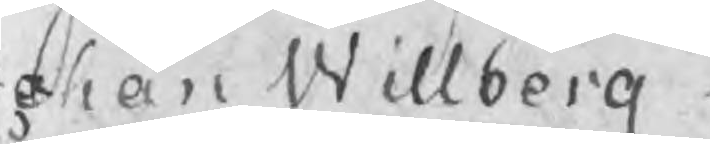Johan Willberg
